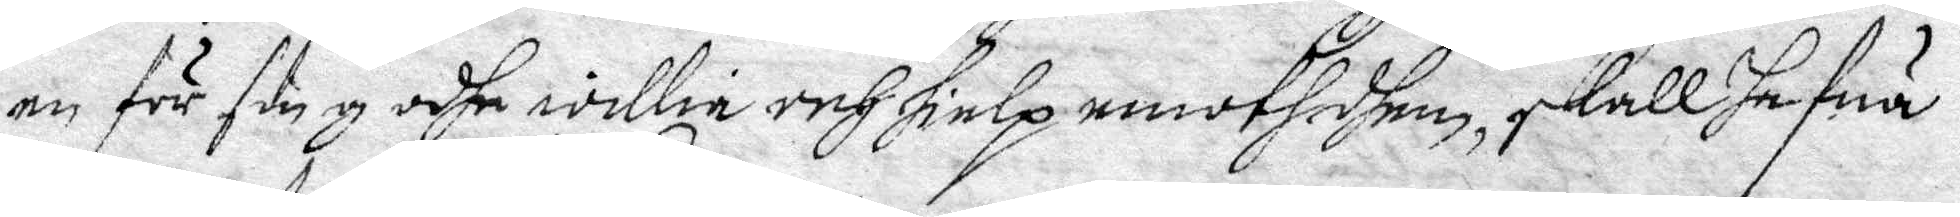en för song odhe wille och hielp emoth dhem, skall hefuä
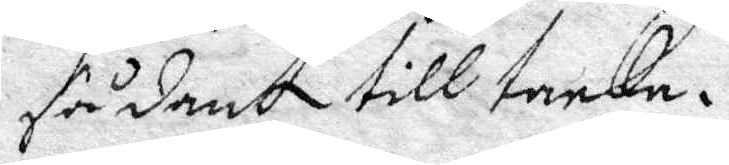sådant till tanka.
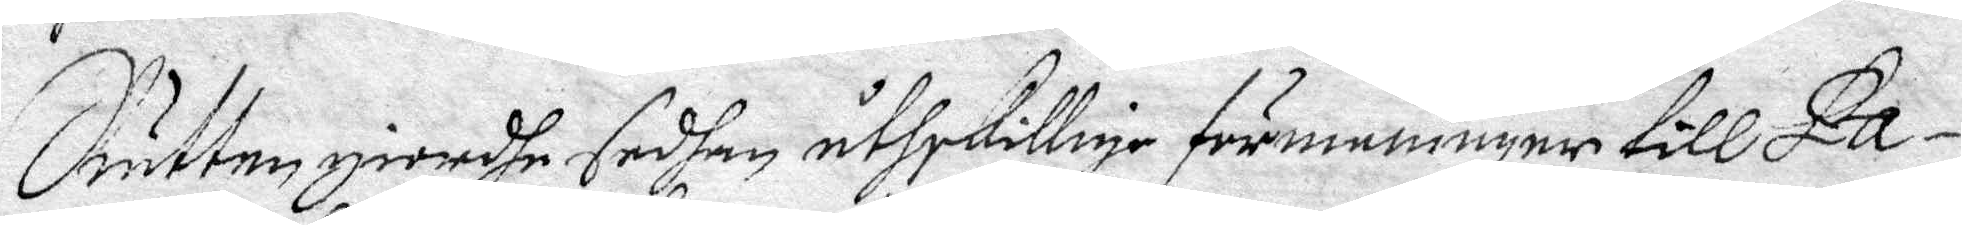Rätten giorde sedhan åtskillige förmaningar till Pa¬
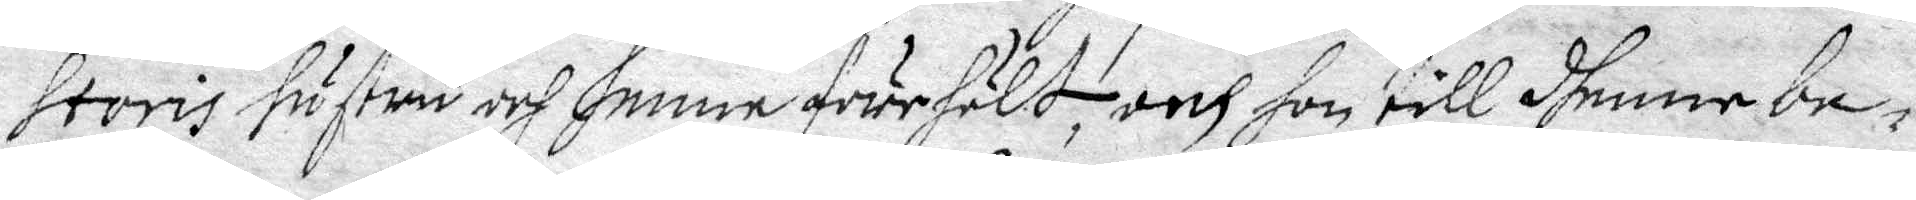storis hustru och henne förehölt, och till dhenne be¬
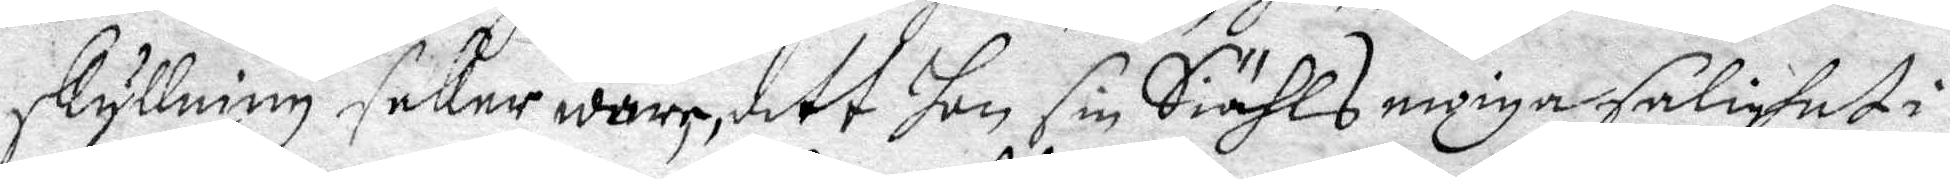skyllning seker wara, dett hon sin Siäkls ewiga Salighet i
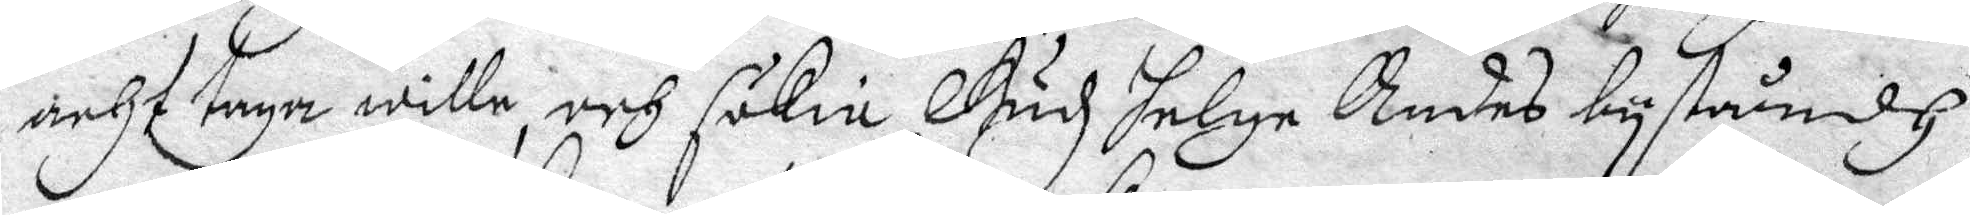acht taga wille, och sökie Gudz Helge Andes byståndh
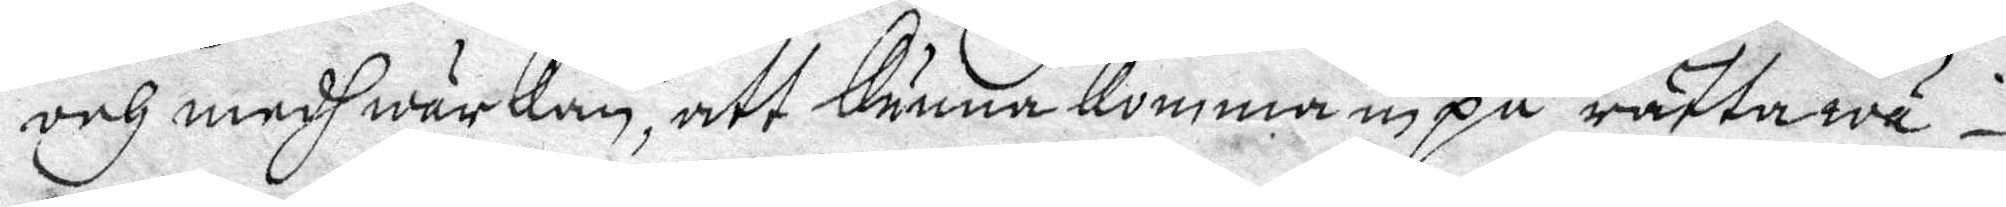och medhwärkan, att Kunna Komma in på rätta wä¬
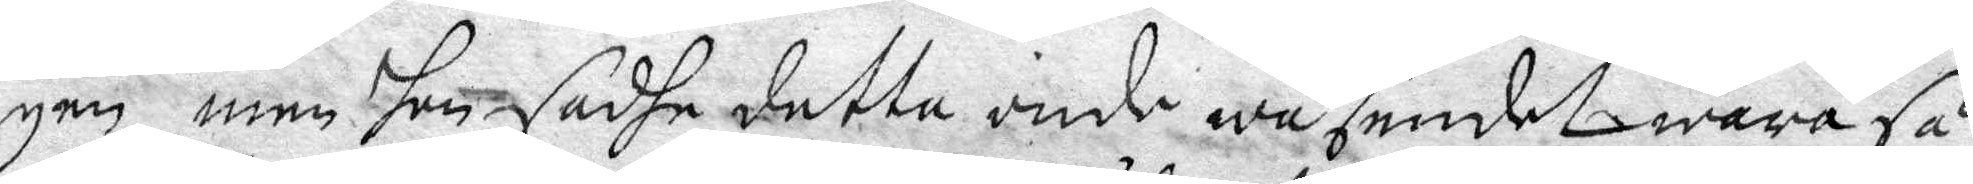gen, men Hon sade detta onde wäsendet wara så
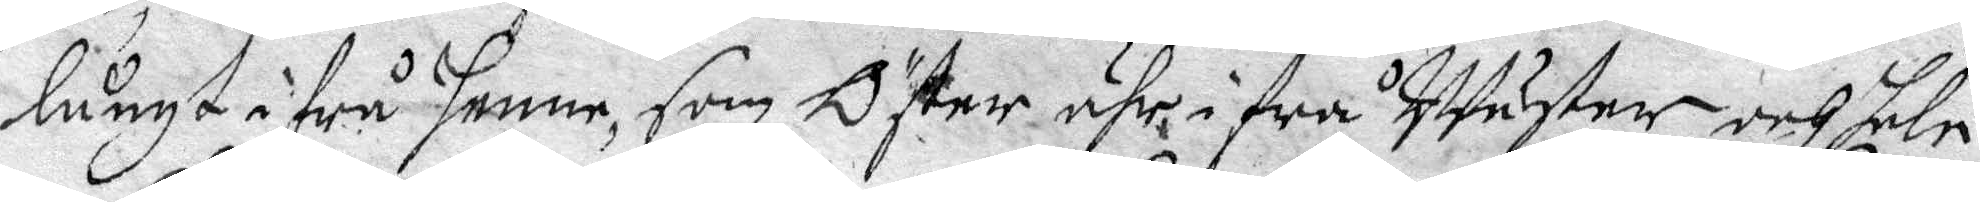långt ifrå Henne, som Öster ähr ifrå Wäster, och hele
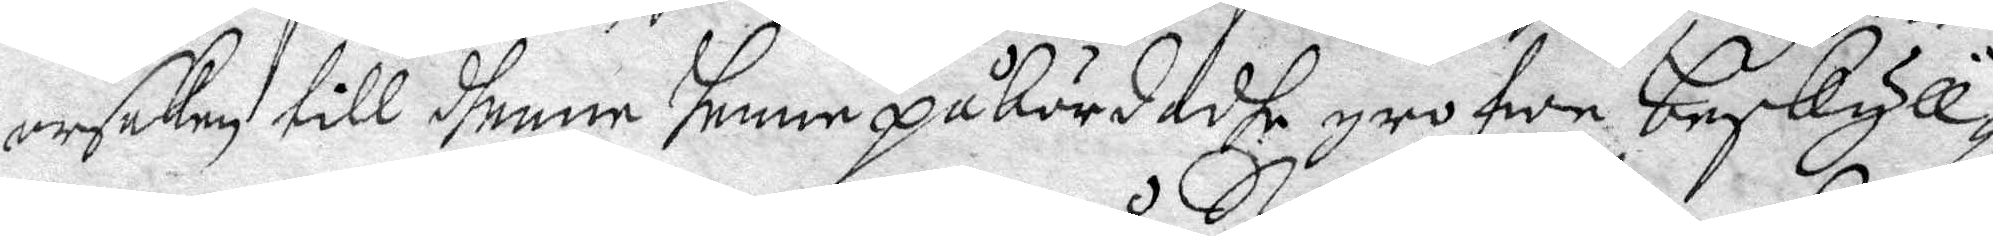orsaken till dhenne Henne påbördadhe grofwe beskyll¬
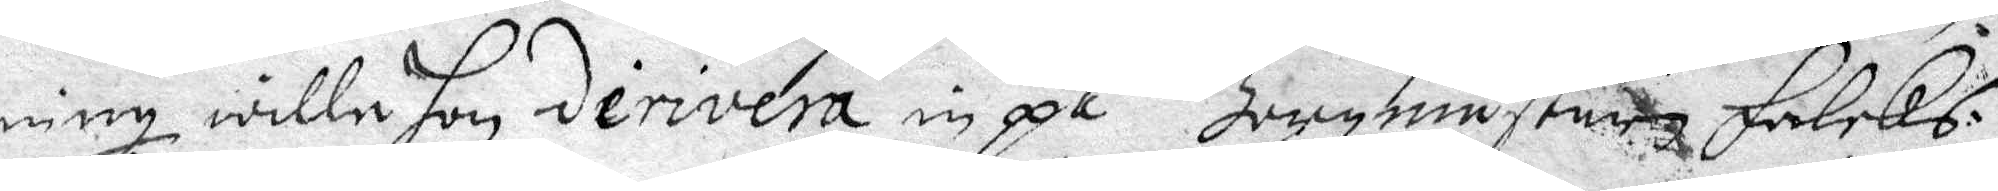ning wille Hon derivera in på Borgmästaren Falcks
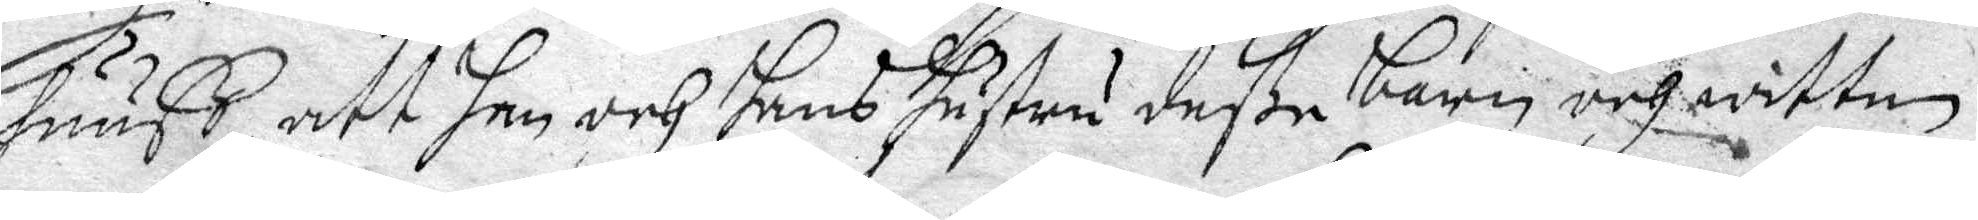huuß att han och hans hustru deße barn och witten
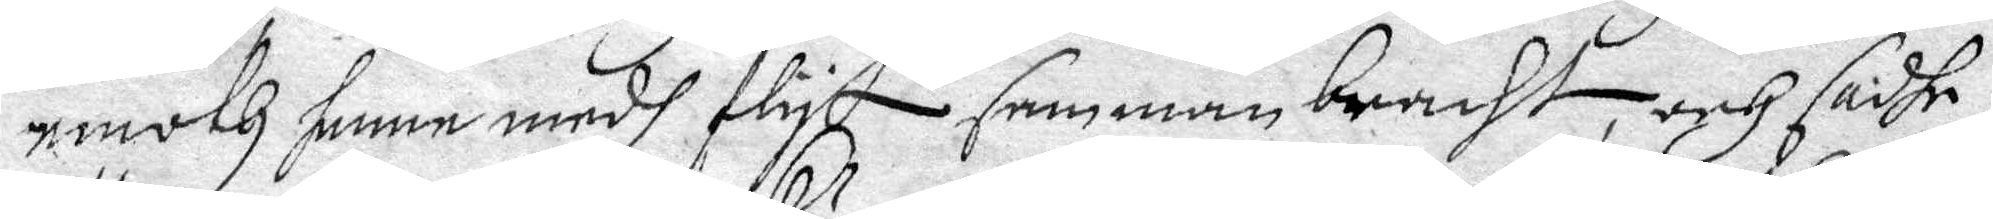emoth henne medh flyt samman bracht, och sadhe
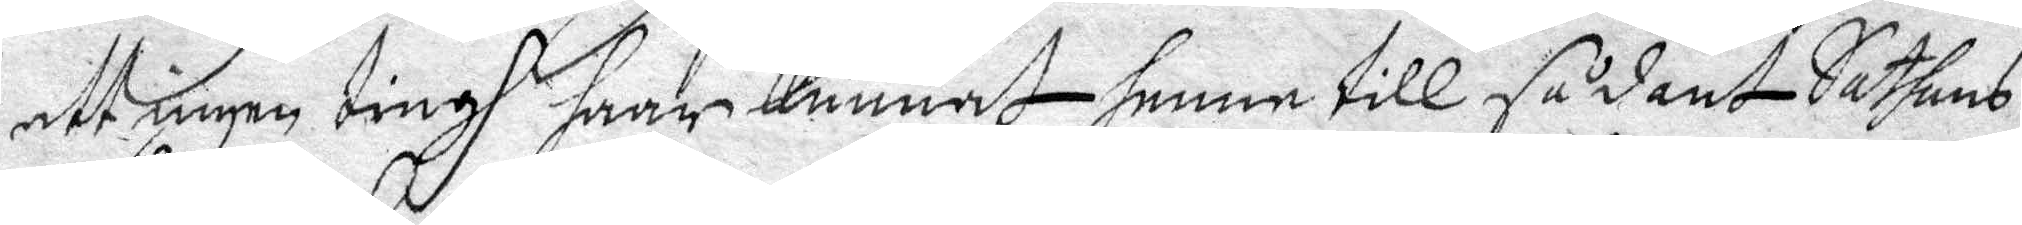att ingen ting haar Kunnat henne till sådant Sathans
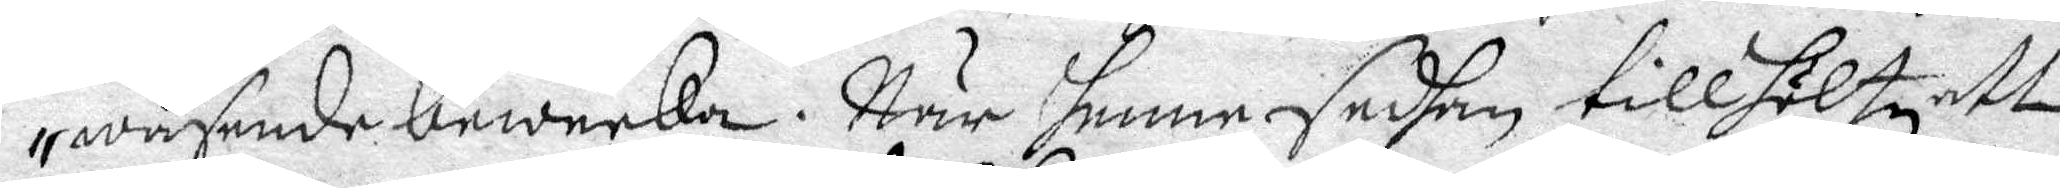wäsende beweeka. När henne sedhan tillhöltz att
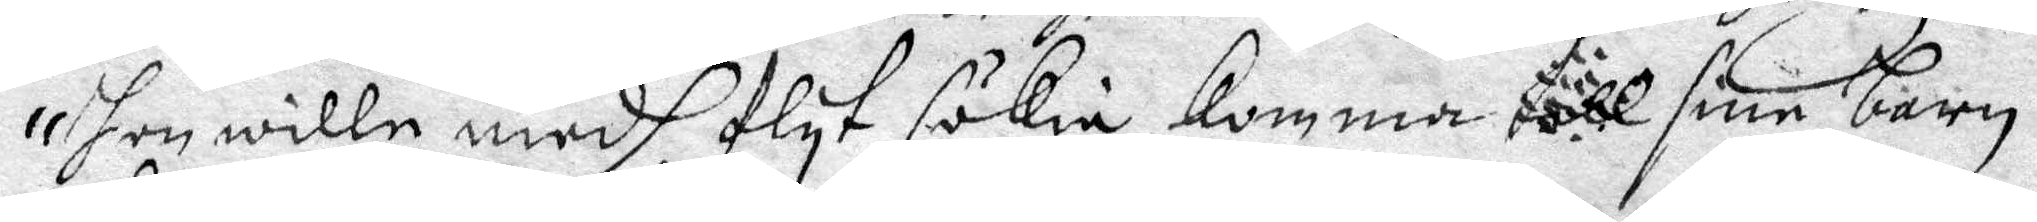hon wille medh flyt sökia komma ... sine barn
